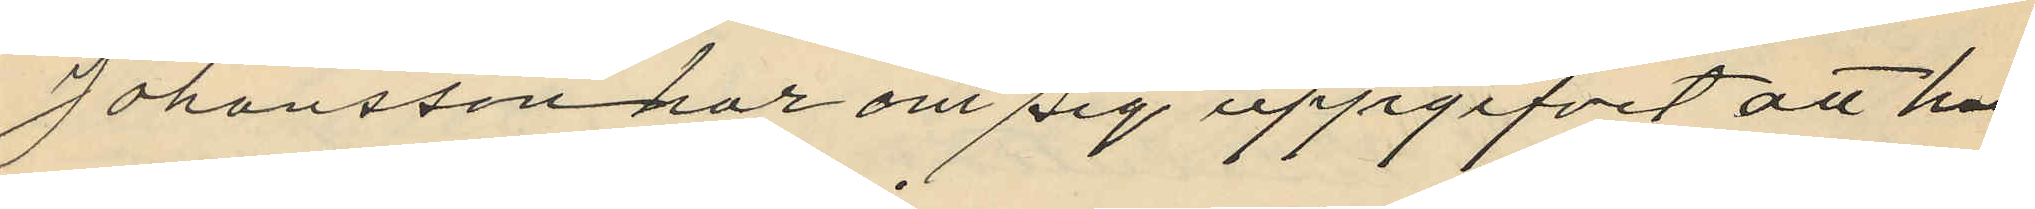Johansson har om sig uppgifvit att han
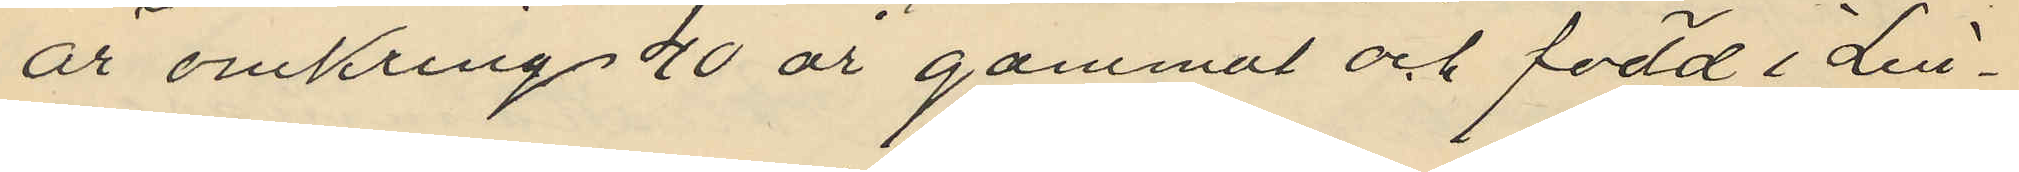är omkring 40 år gammal och född i Lin¬
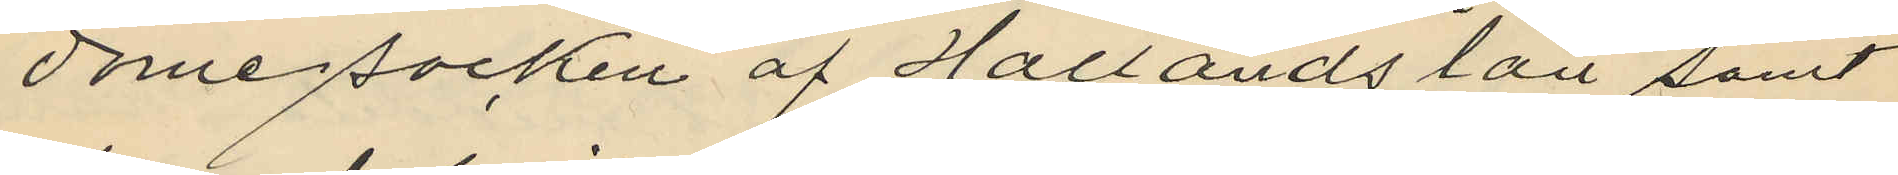dome socken af Hallands län samt
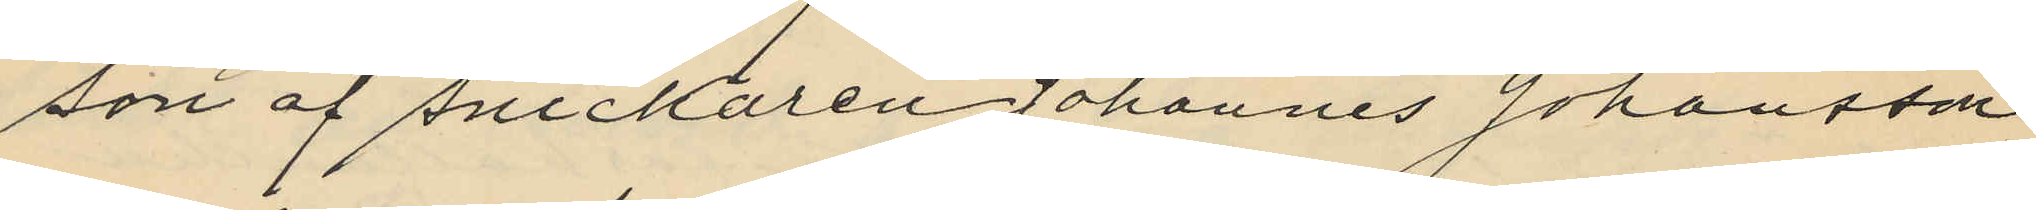son af snickaren Johannes Johansson
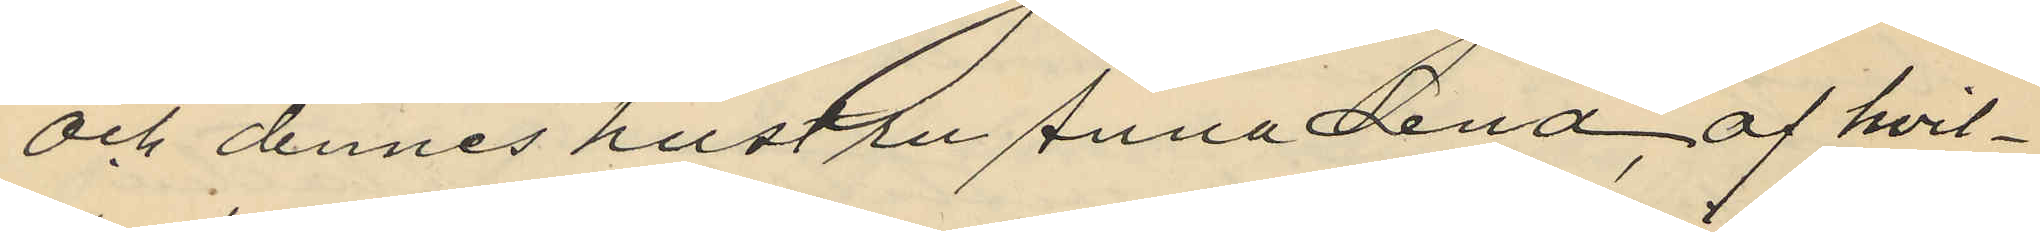och dennes hustru Anna Lena, af hvil¬
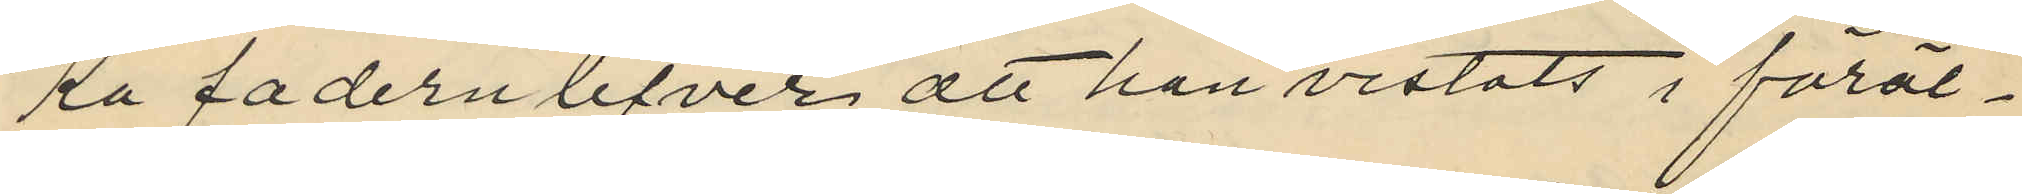ka fadern lefver, att han vistats i föräl¬
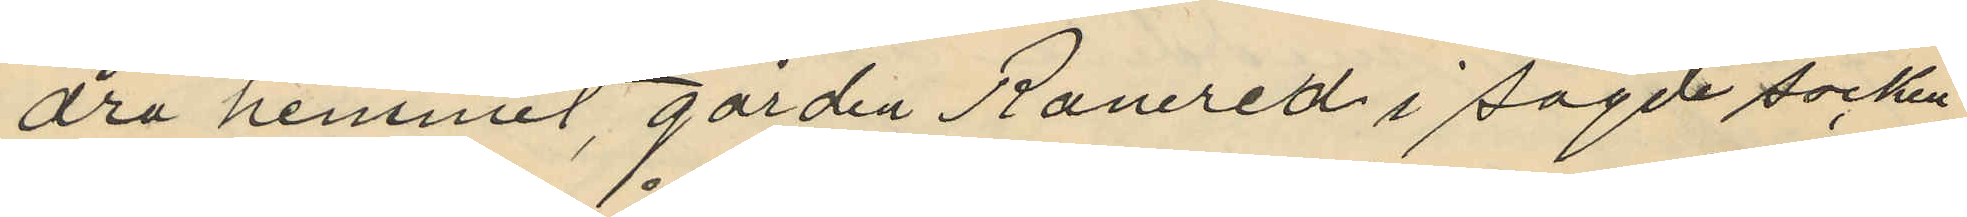dra hemmet, gården Ranered i sagde socken
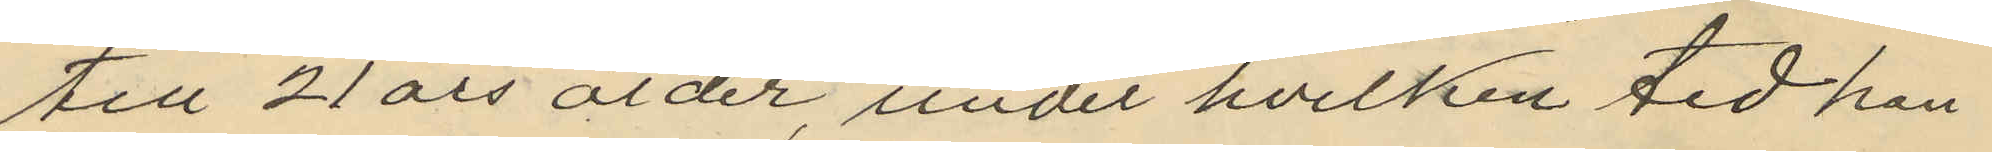till 21 års ålder, under hvilken tid han
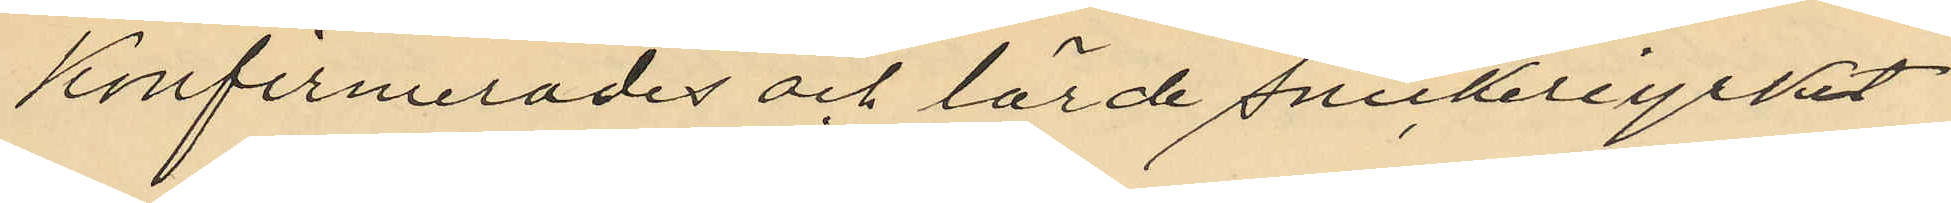konfirmerades och lärde snickeriyrket
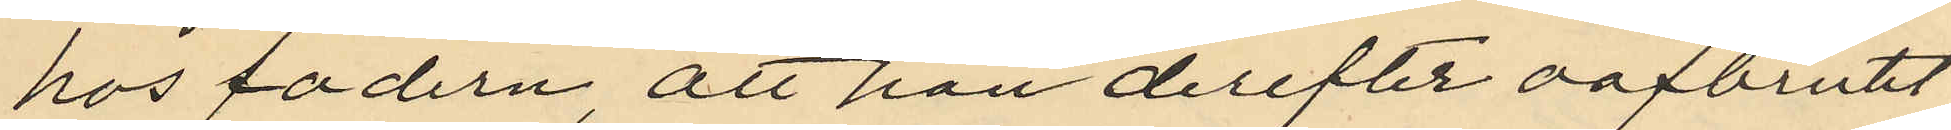hos fadern, att han derefter oafbrutet
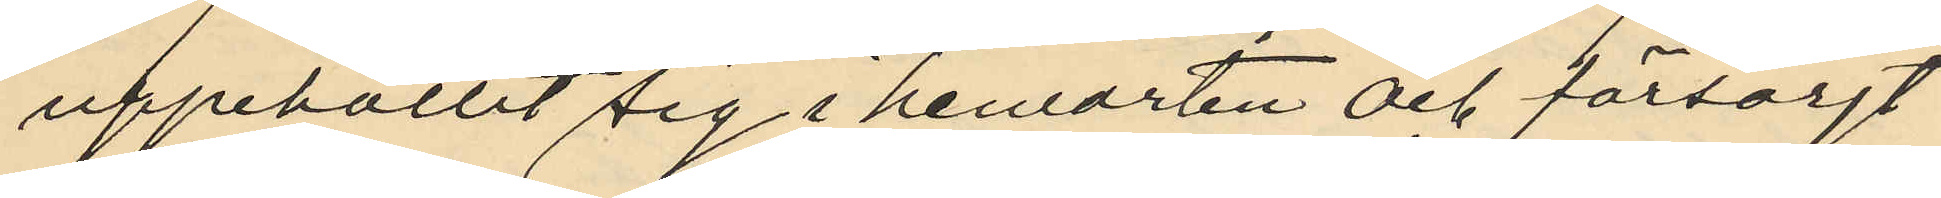uppehållit sig i hemorten och försörjt
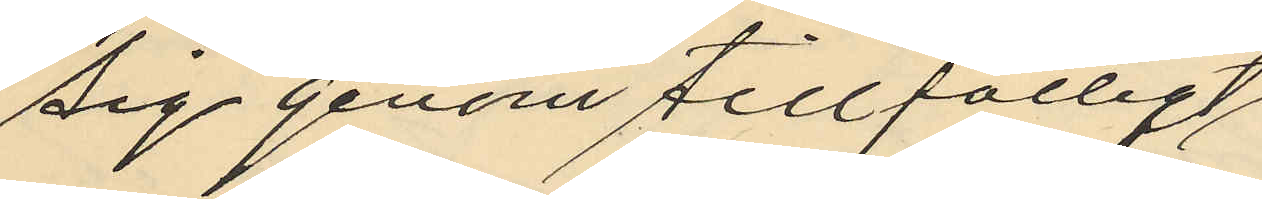sig genom tillfälligt
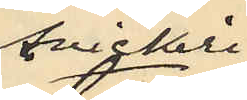snickeri¬
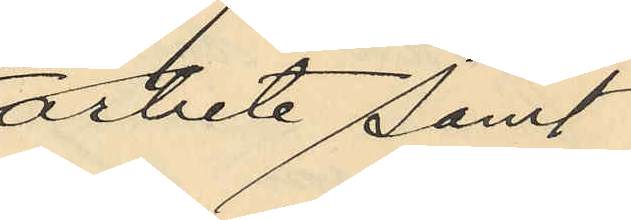arbete samt
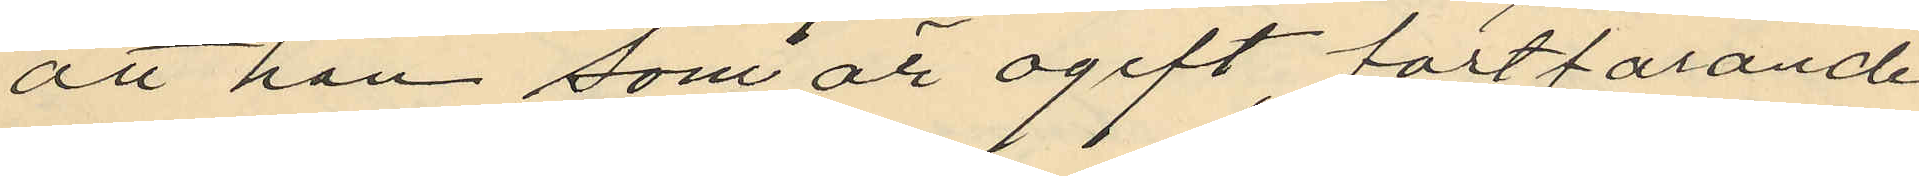att han som är ogift, fortfarande
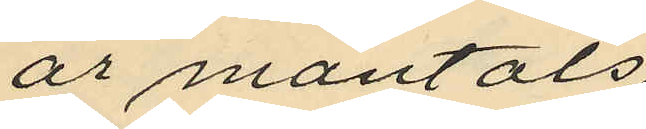är mantals
